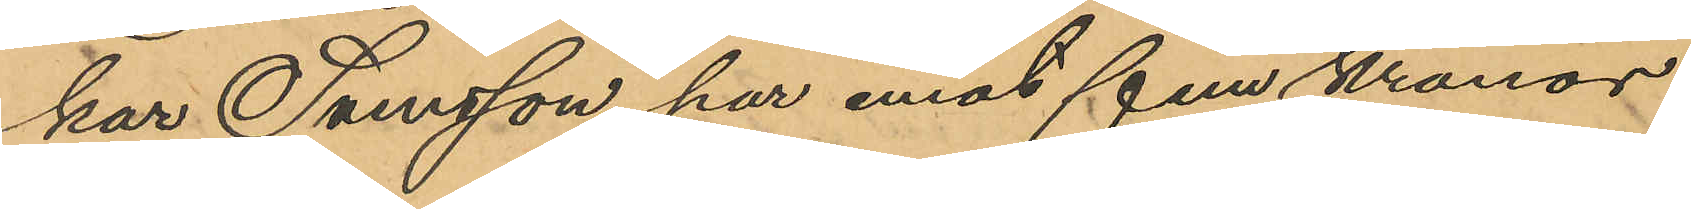kar Svensson har emot fem kronor
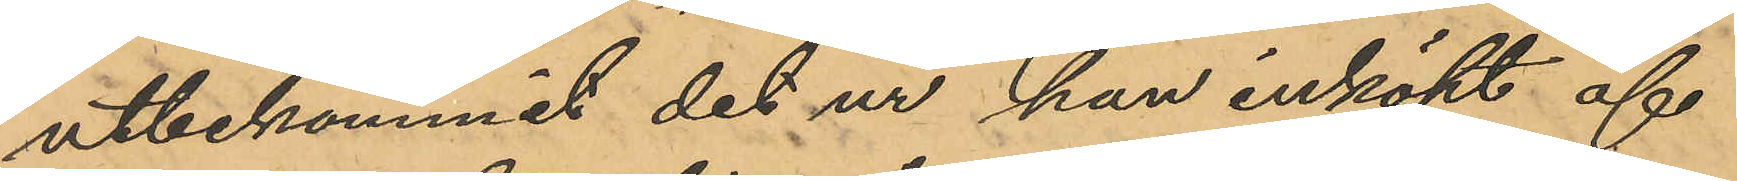utbekommit det ur han inköpt af
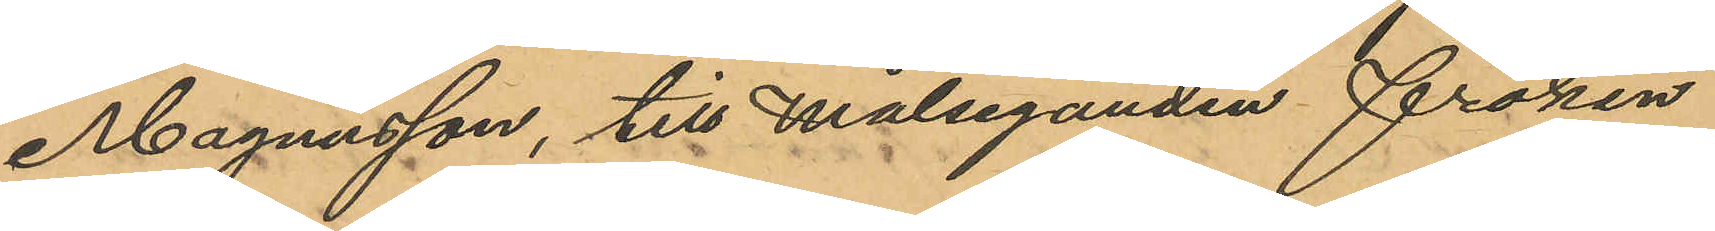Magnusson, till Målseganden fröken
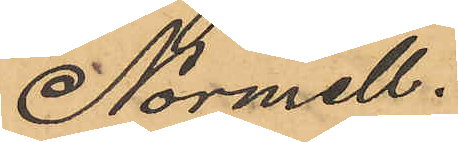Normell.
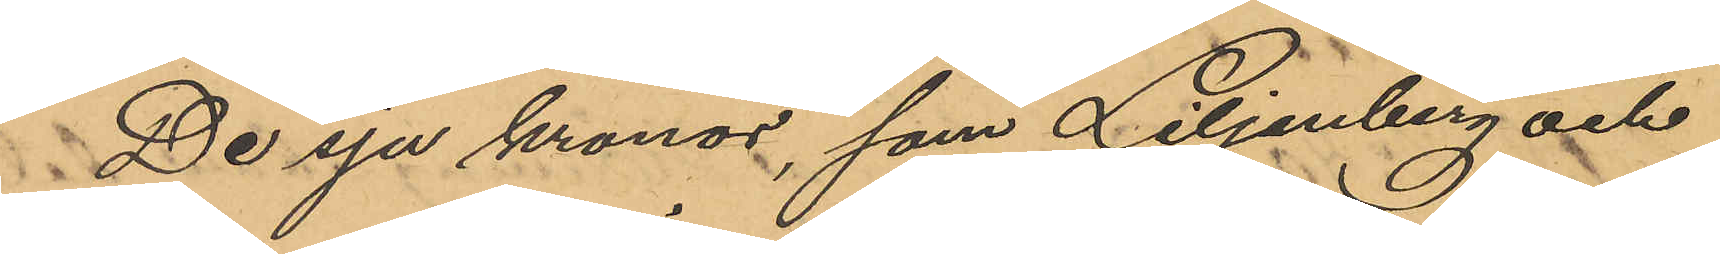De sju kronor, som Liljenberg och
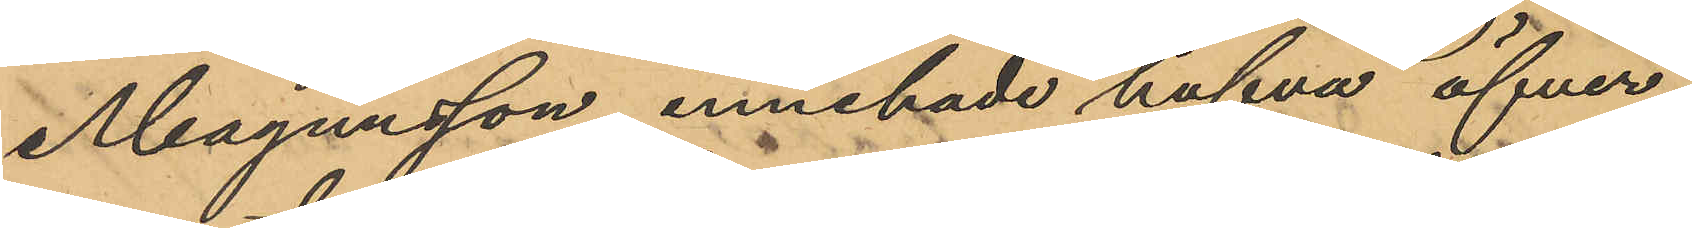Magnusson innehade hafva öfver¬
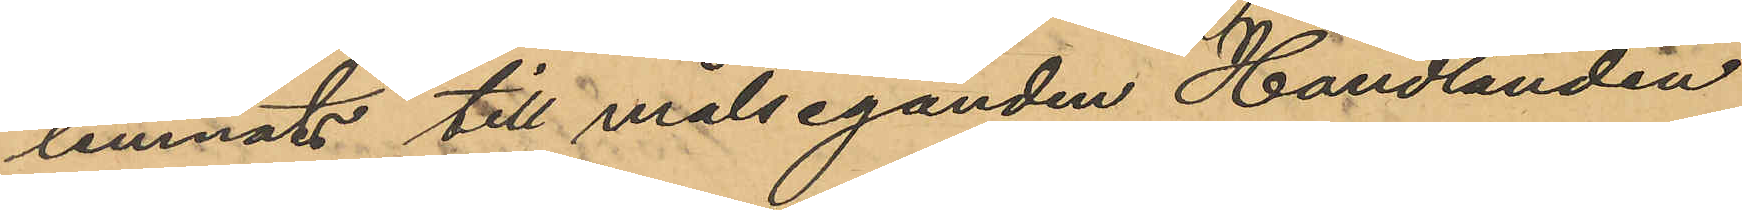lemnats till målseganden Handlanden
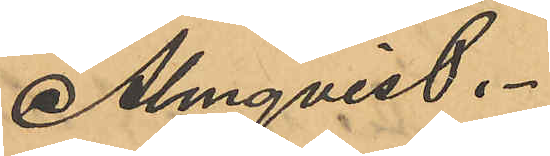Almqvist.
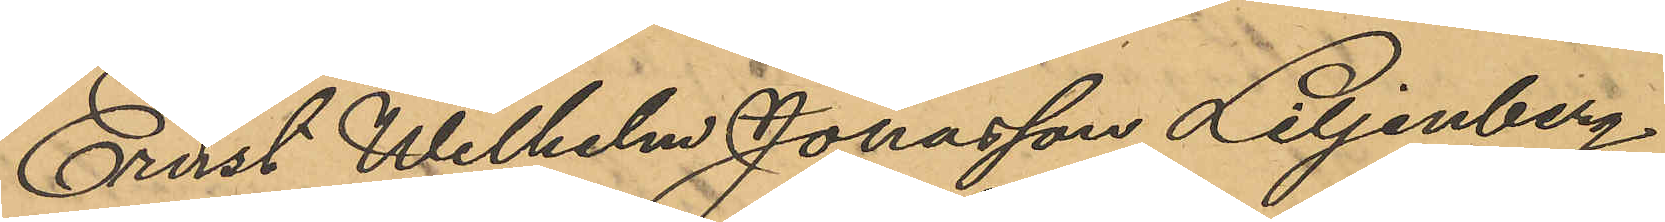Ernst Wilhelm Jonasson Liljenberg
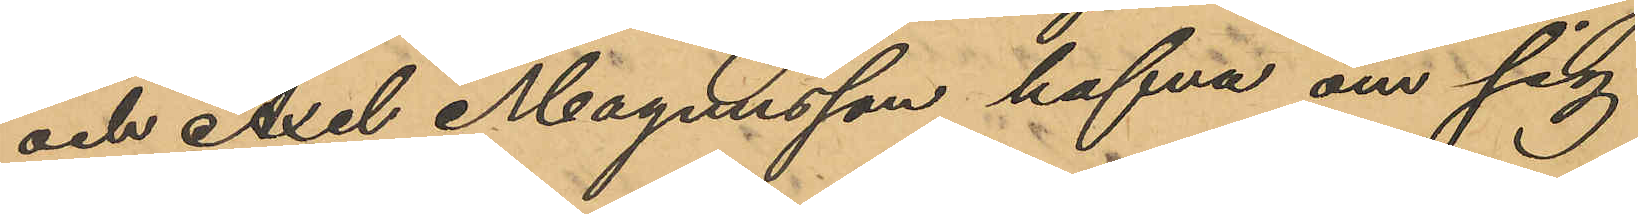och Axel Magnusson hafva om sig
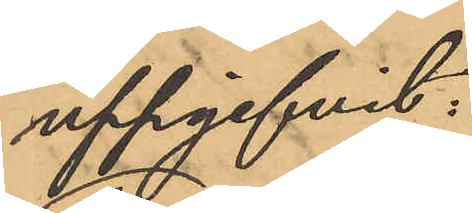uppgifvit:
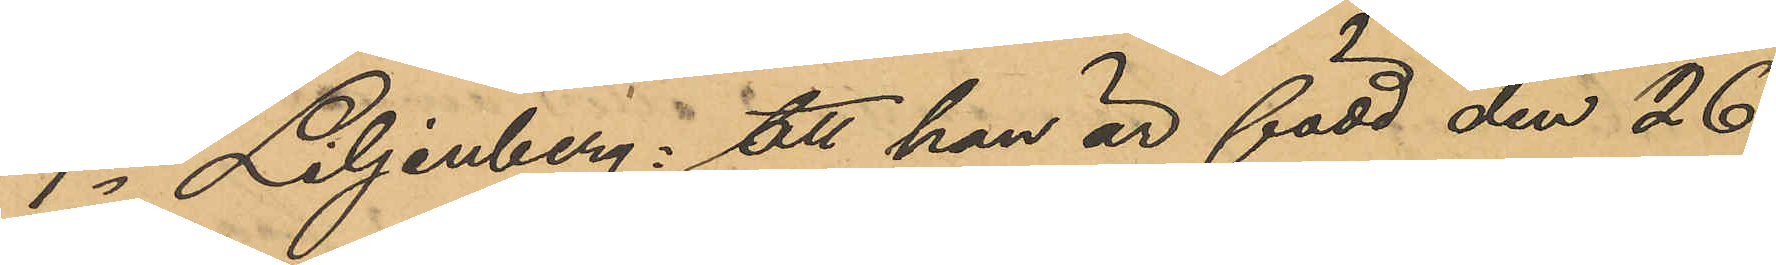1o Liljenberg: att han är född den 26
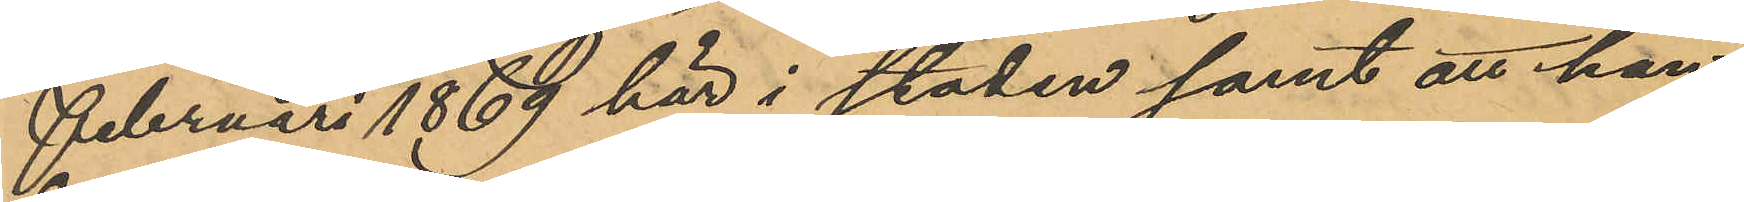Februari 1869 här i staden samt att han
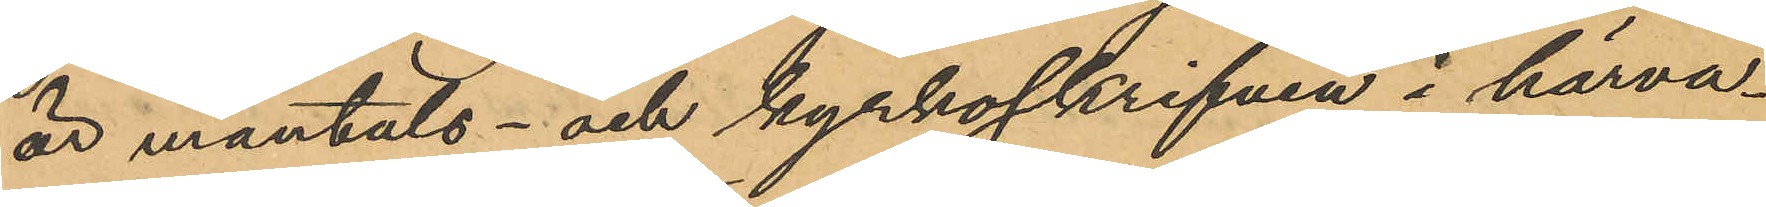är mantals- och kyrkoskrifven i härva¬
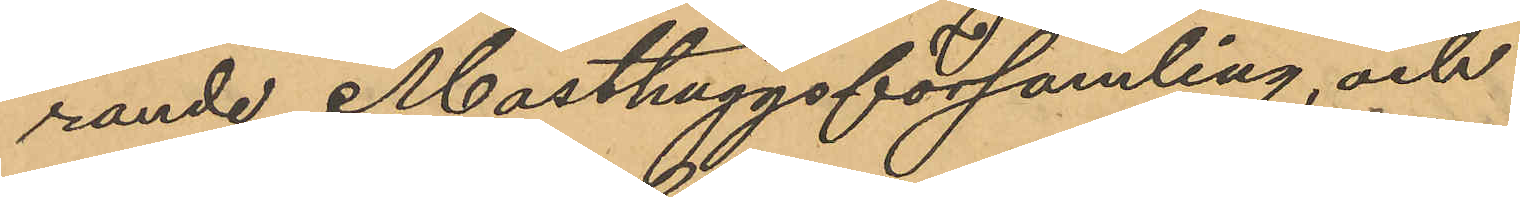rande Masthuggsförsamling, och
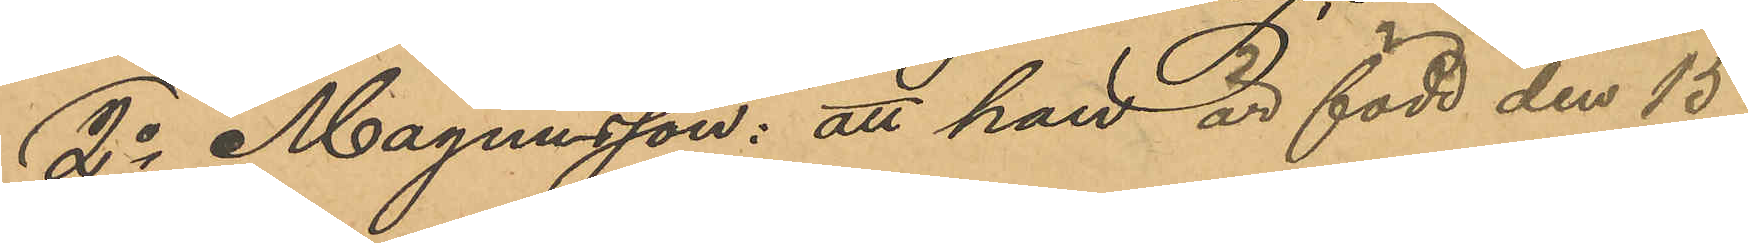2o Magnusson: att han är född den 15
